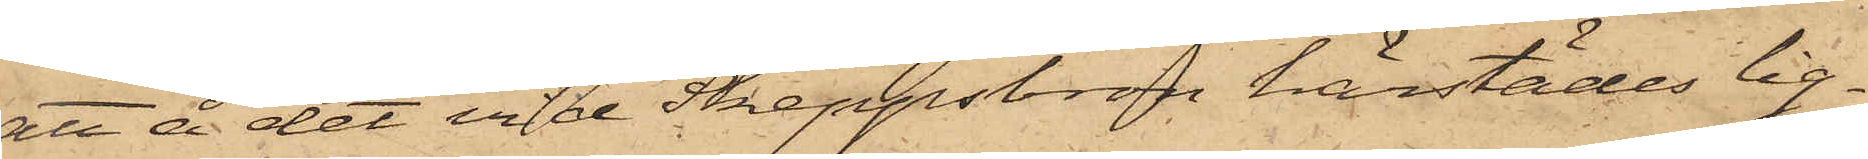att å det vid Skeppsbron härstädes lig¬
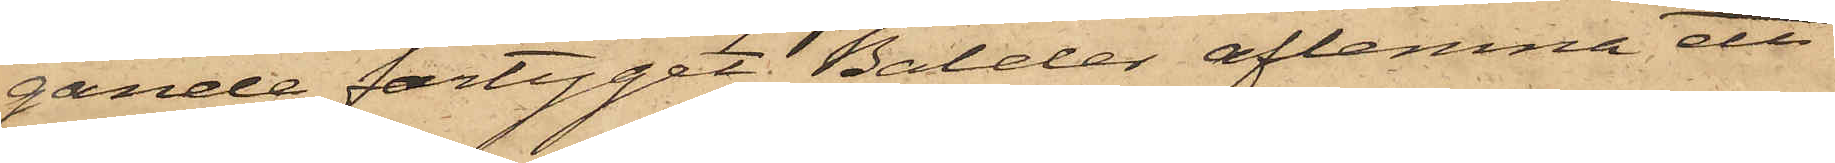gande fartyget Balder aflemna ett
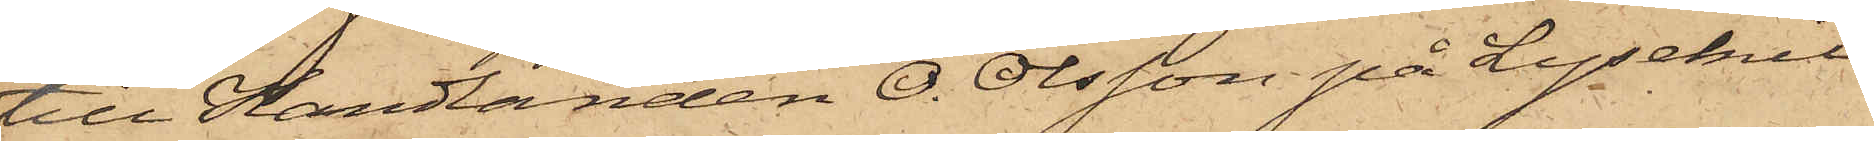till Handlanden O. Olsson på Lysekil
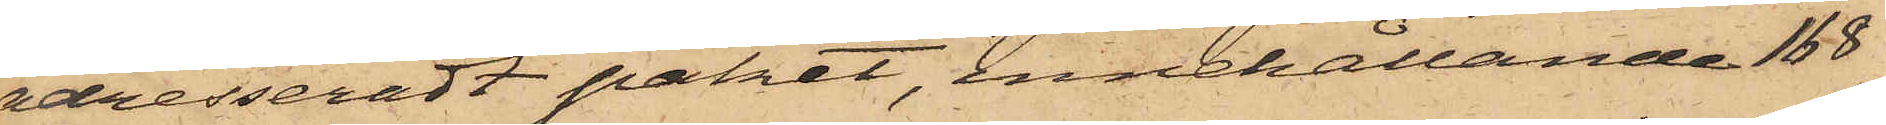adresseradt paket, innehållande 168
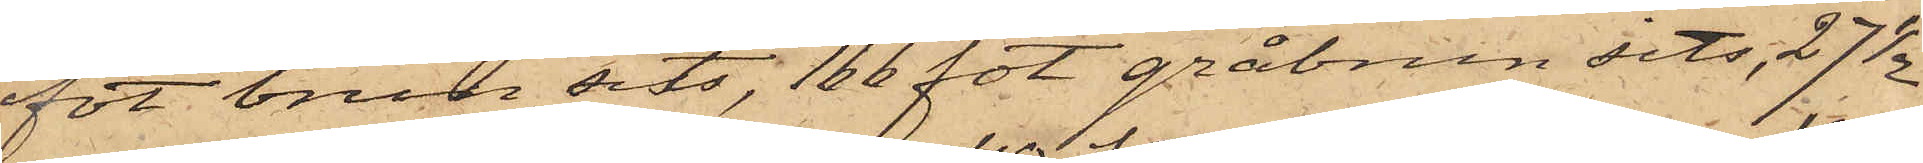fot brun sits, 166 fot gråbrun sits, 27 1/2
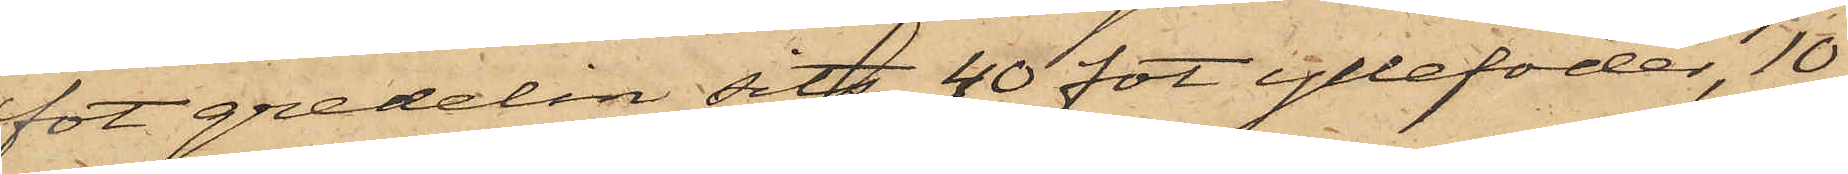fot gredelin sits, 40 fot yllefoder, 10
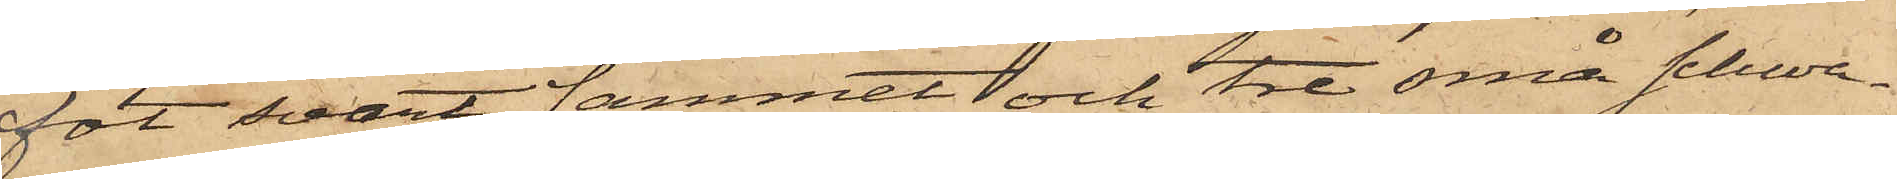fot svart sammet och tre små schwa¬
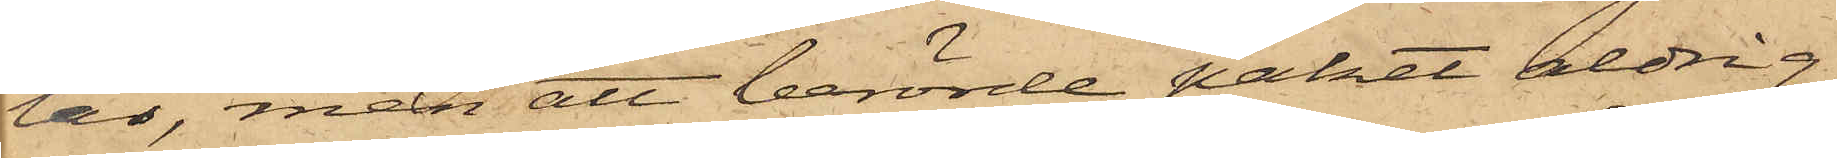lar, men att berörde paket aldrig
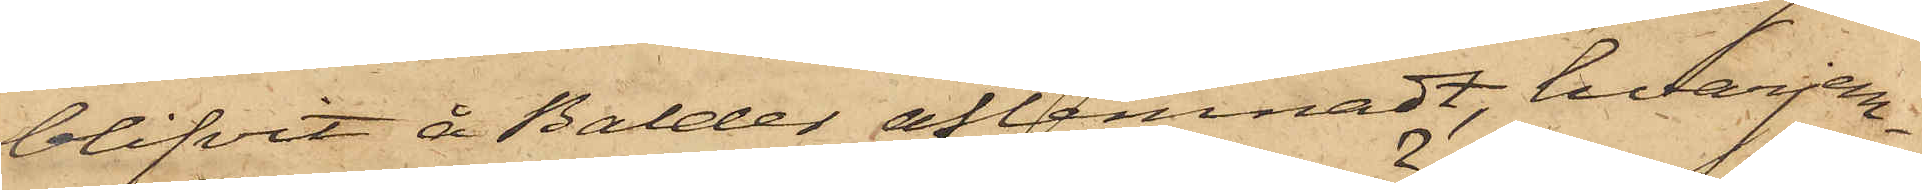blifvit å Balder aflemnadt, hvarjem¬
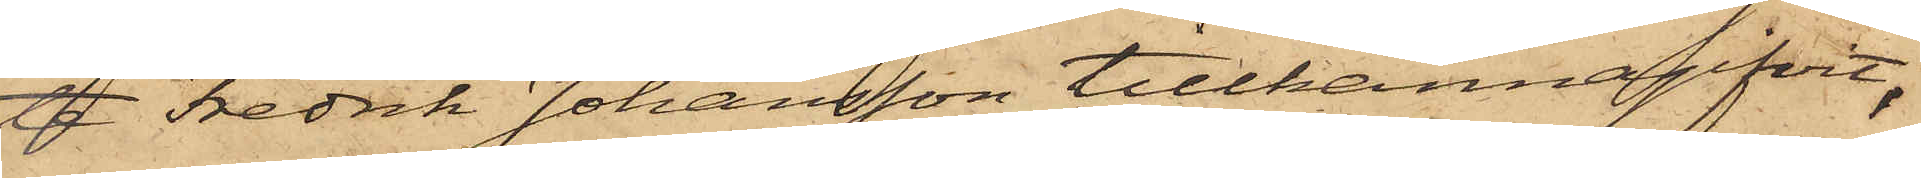te Fredrik Johansson tillkännagifvit,
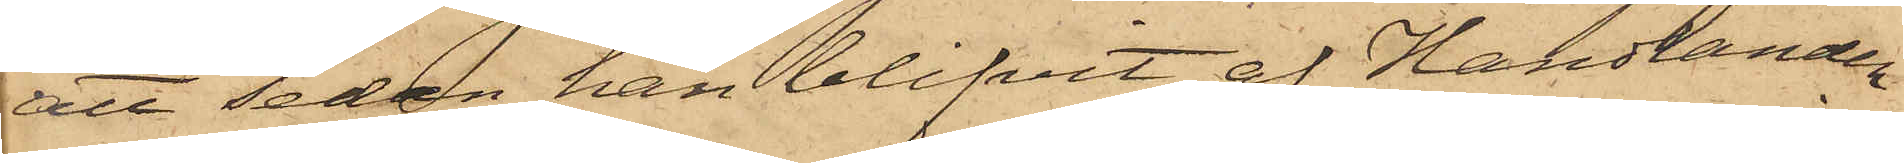att sedan han blifvit af Handlanden
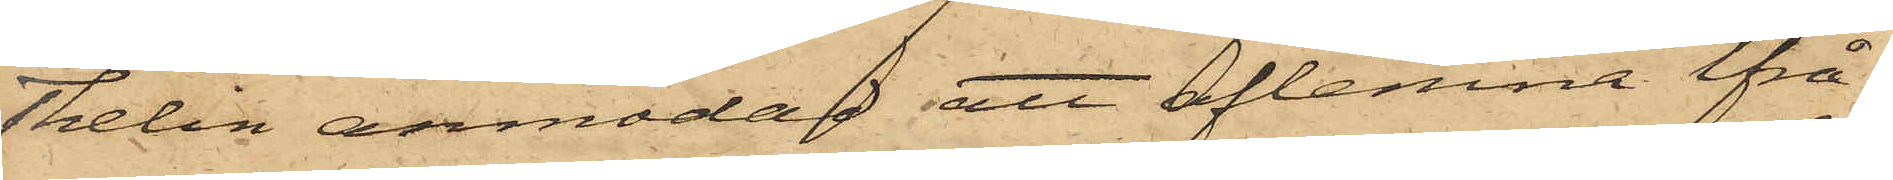Thelin anmodad att aflemna ifrå¬
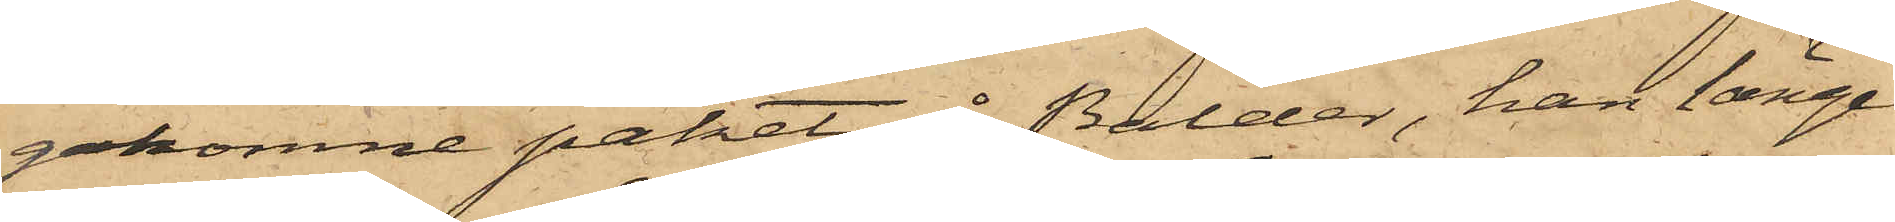gakomne paket å Balder, han länge
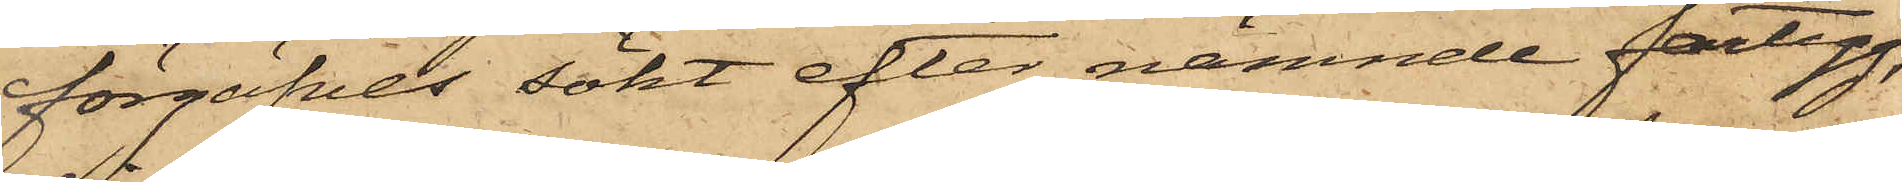förgäfves sökt efter nämnde fartyg,
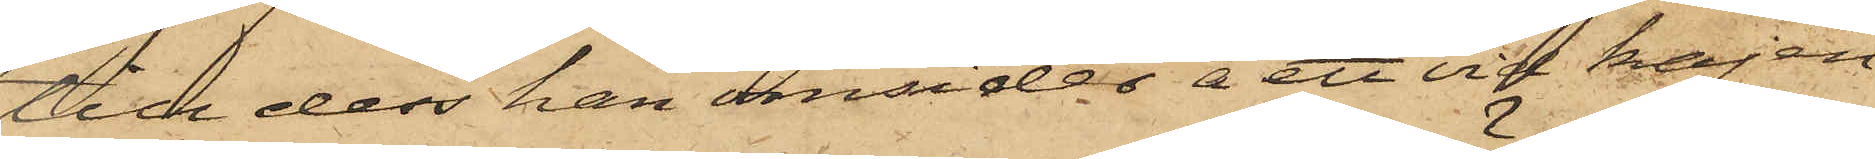till dess han omsider å ett vid kajen
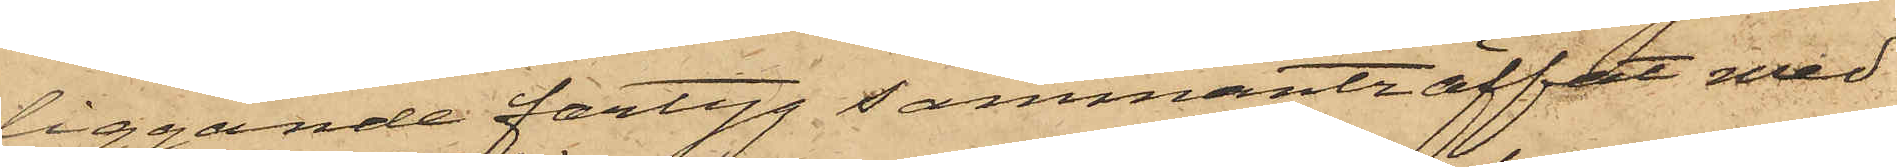liggande fartyg sammanträffat med
